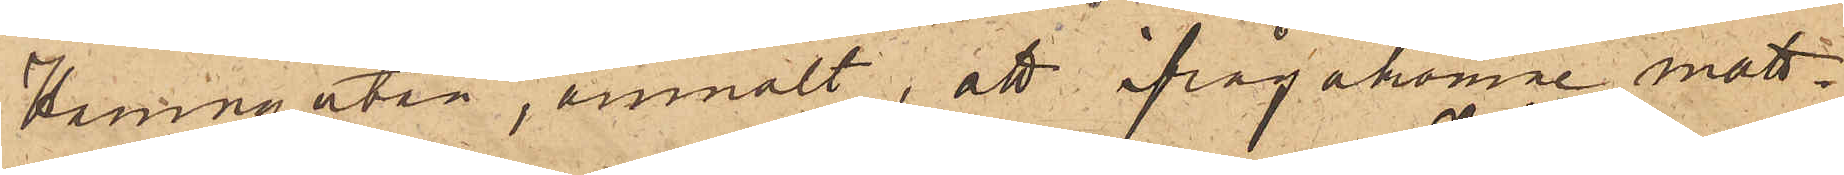Hamngatan, anmält, att ifrågakomne matt¬
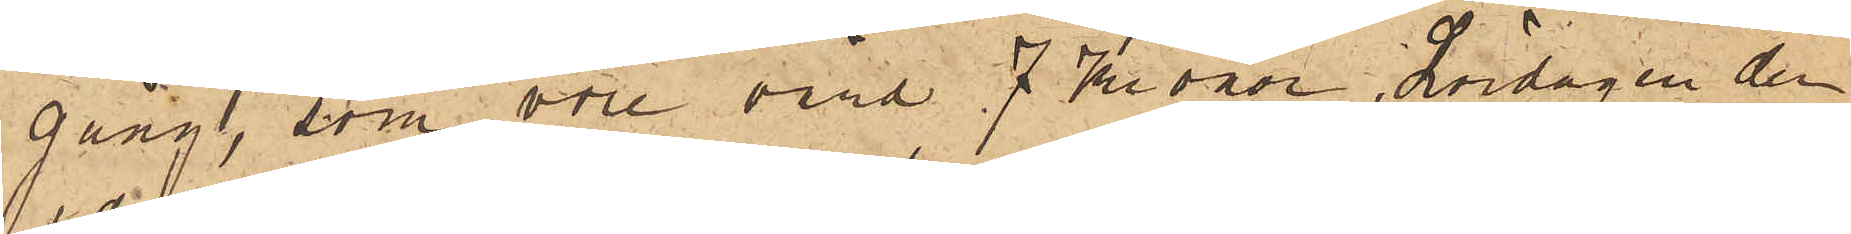gång, som vore värd 7 Kronor, Lördagen den
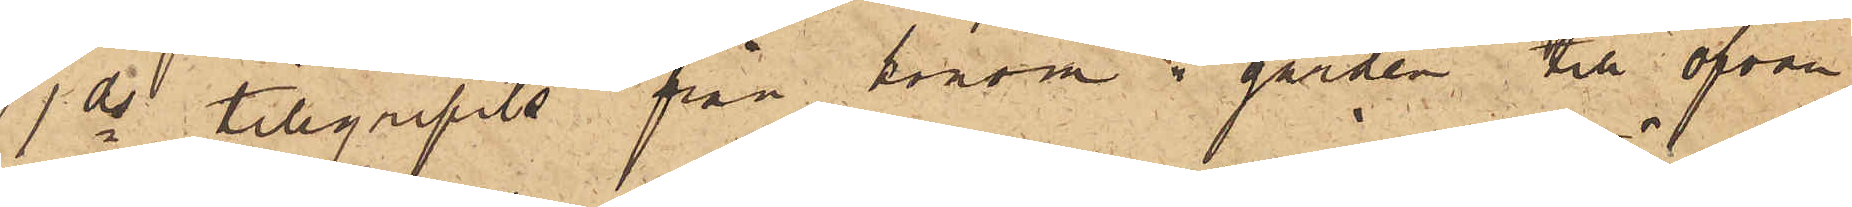1 ds tillgripits från honom i gården till ofvan¬
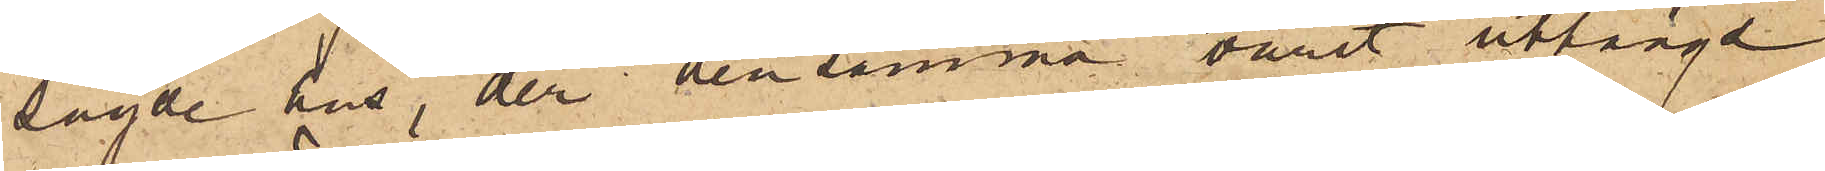sagde hus, der densamma varit uthängd
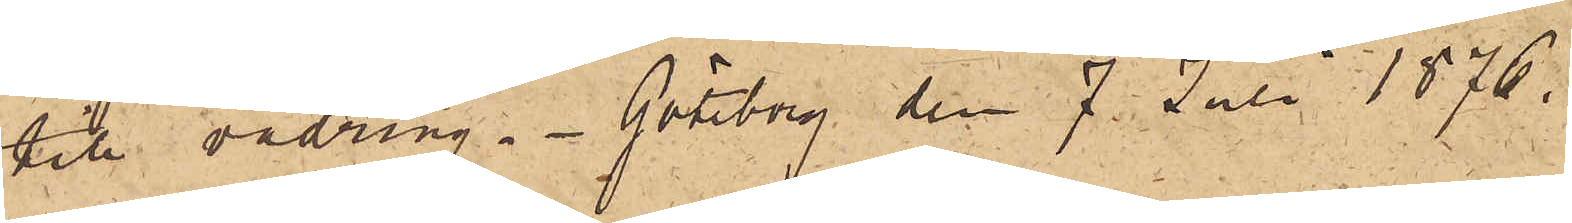till vädring. Göteborg den 7 Juli 1876.
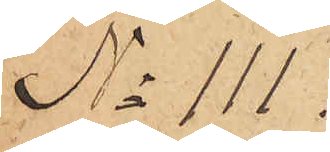No 111.
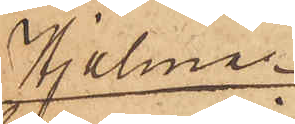Hjalmar
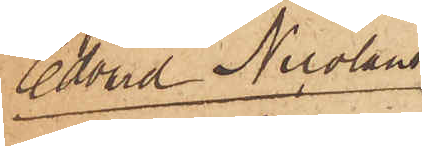Edvard Nicolaus
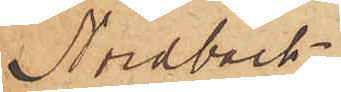Nordbäck
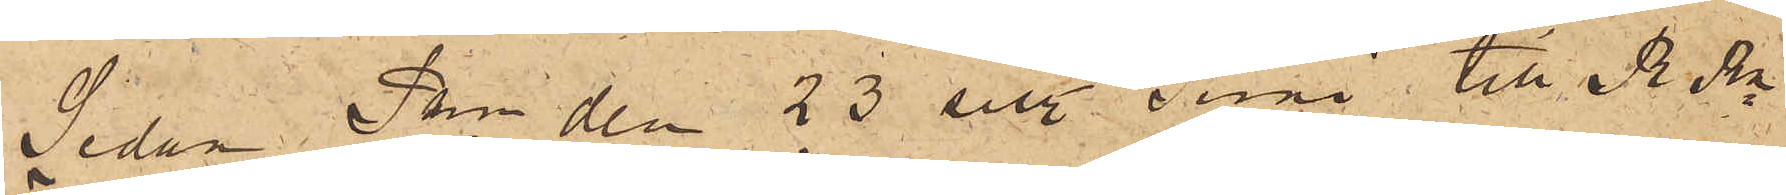Sedan Pkn den 23 sist. Juni till RRn
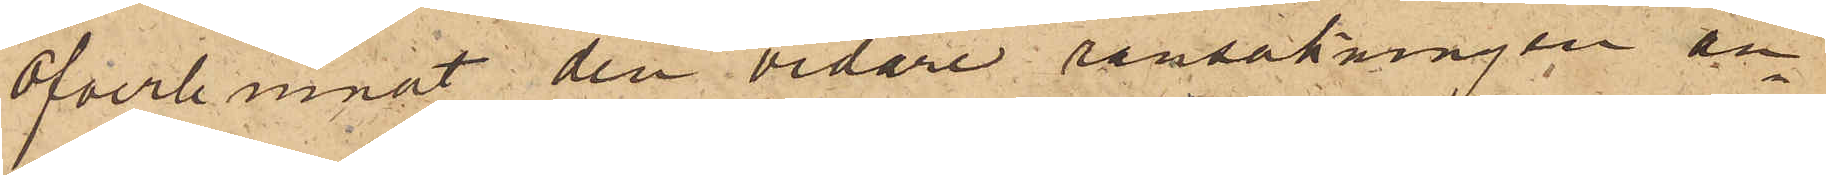öfverlemnat den vidare ransakningen an¬
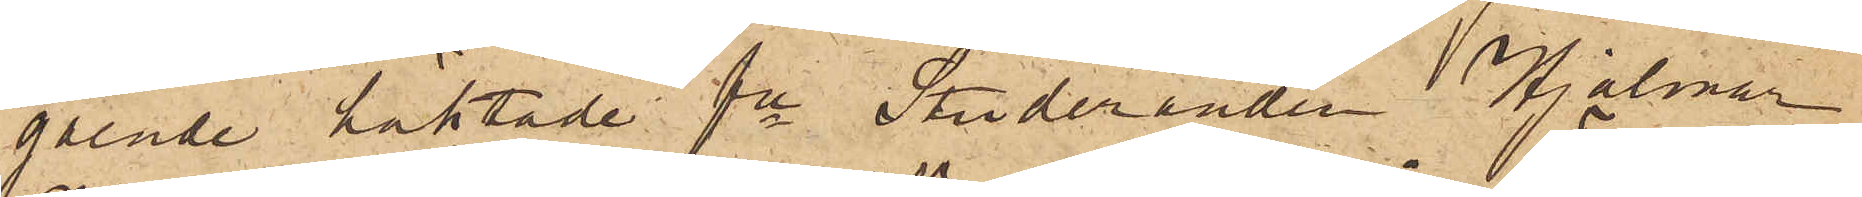gående häktade fe Studeranden Hjalmar
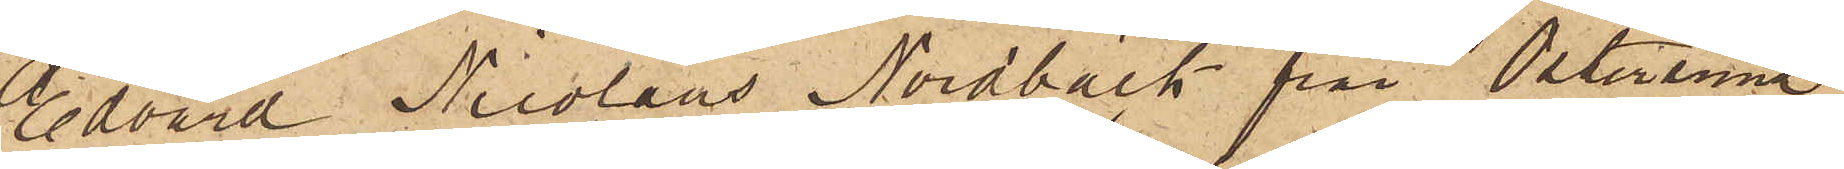Edvard Nicolaus Nordbäck från Östersund
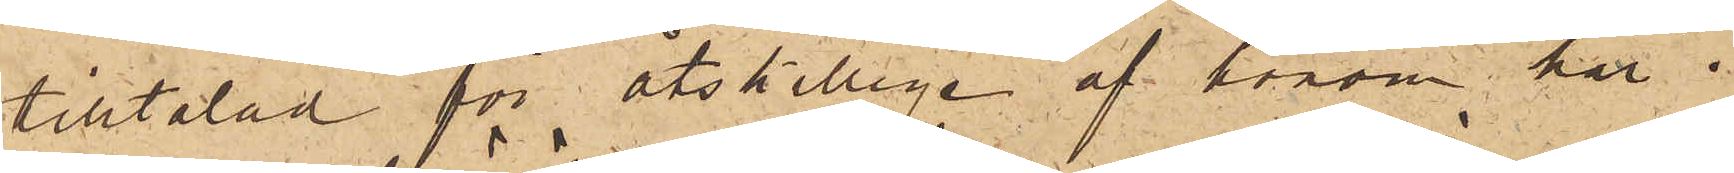tilltalad för åtskillige af honom här i
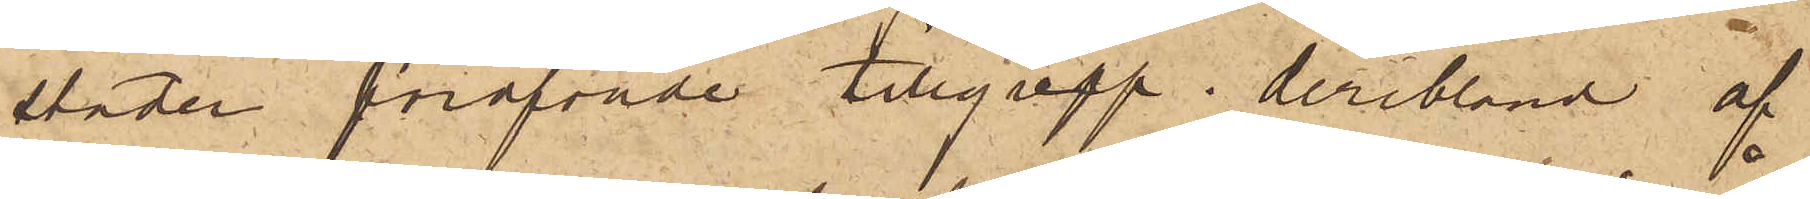staden föröfvade tillgrepp, deribland af
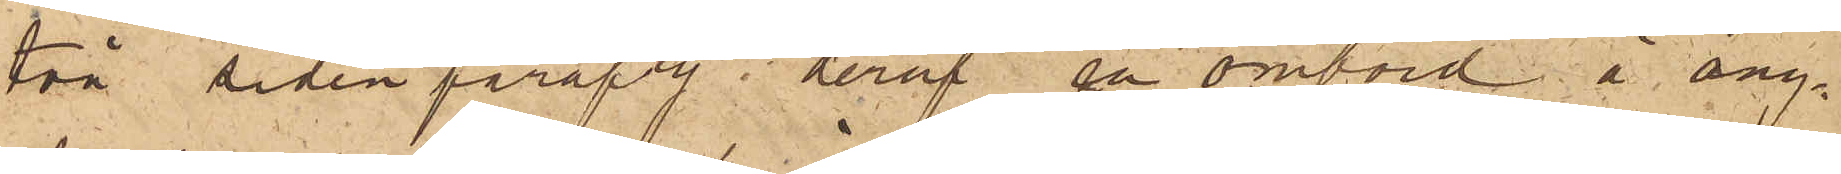två sidenparaply, deraf en ombord å ång¬
